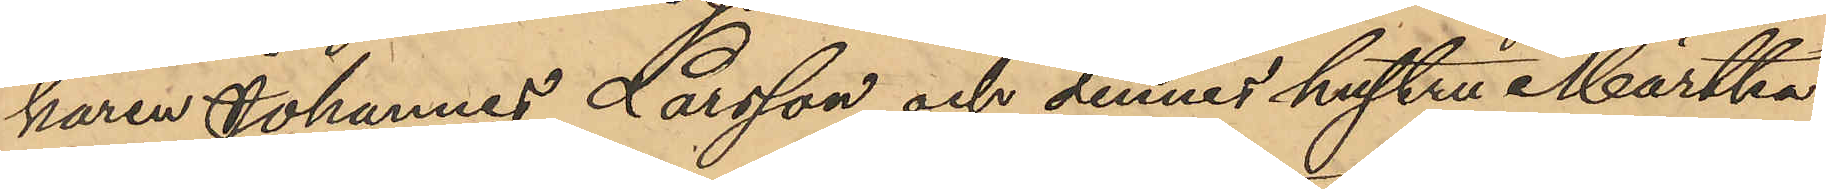karen Johannes Larsson och dennes hustru Märtha
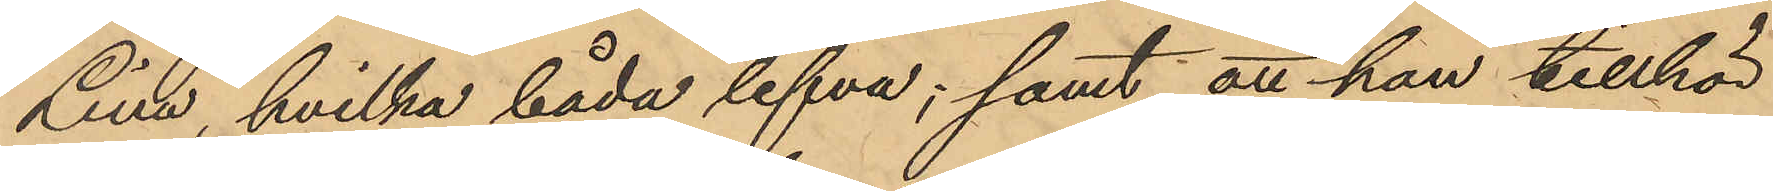Lina, hvilka båda lefva; samt att hon tillhör
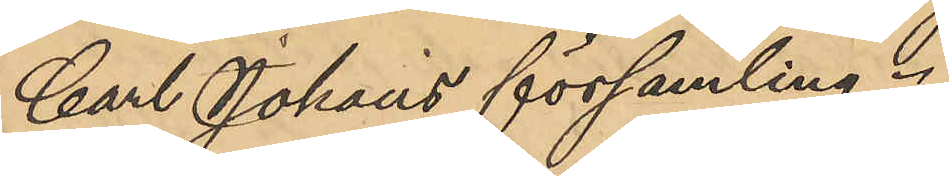Carl Johans församling.
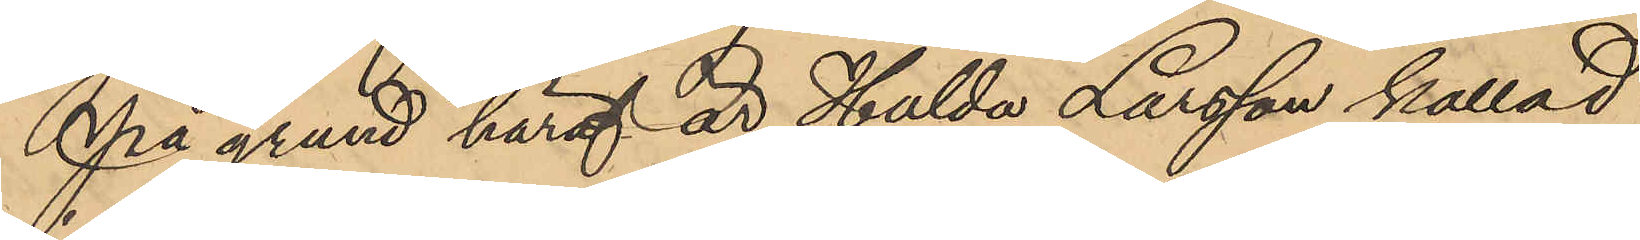På grund häraf är Hulda Larsson kallad
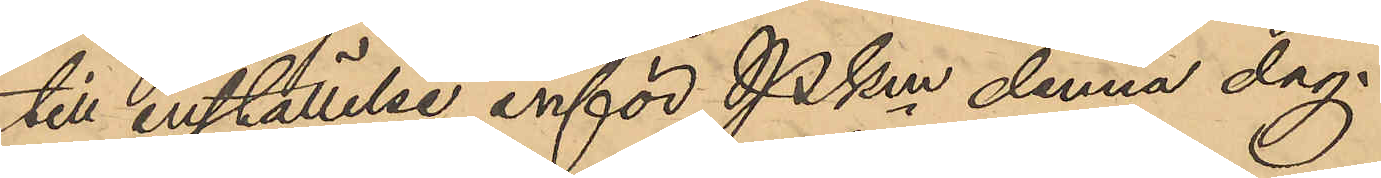till inställelse inför PKm denna dag.
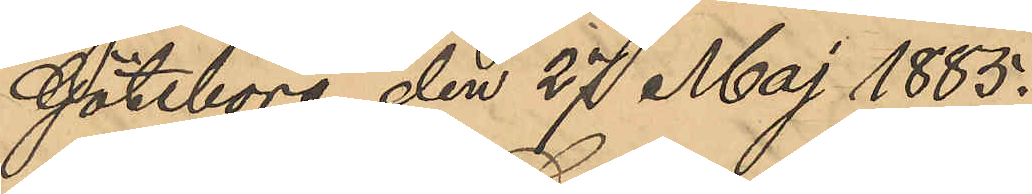Göteborg den 27 Maj 1885.
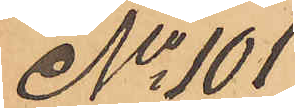No 101
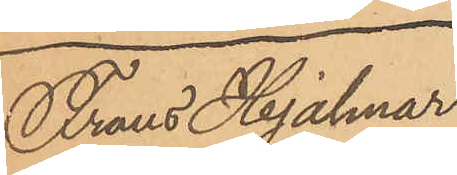Frans Hjalmar
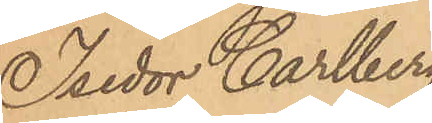Isedor Carlberg
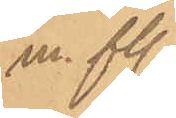m. fl.
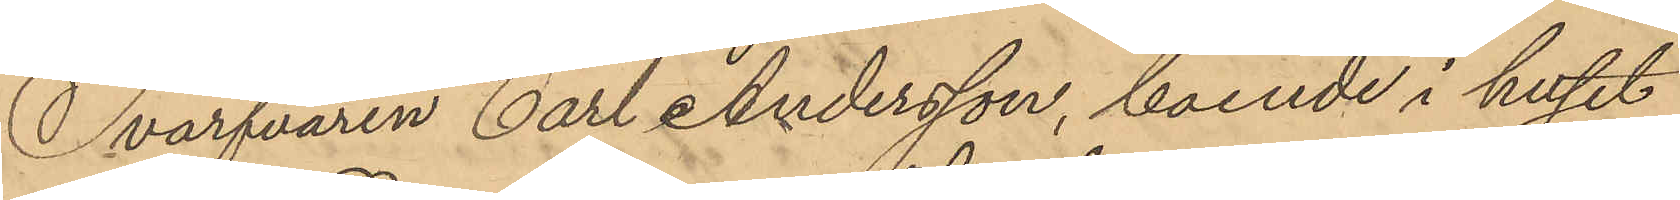Svarfvaren Carl Andersson, boende i huset
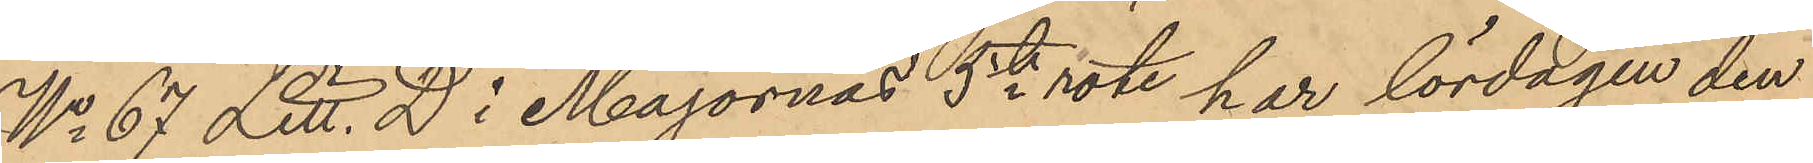No 67 Litt. D i Majornas 5te rote har lördagen den
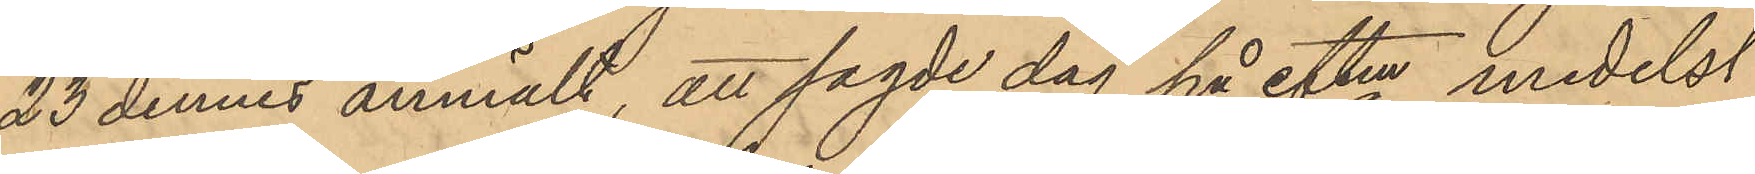23 dennes anmält, att sagde dag på eftm medelst
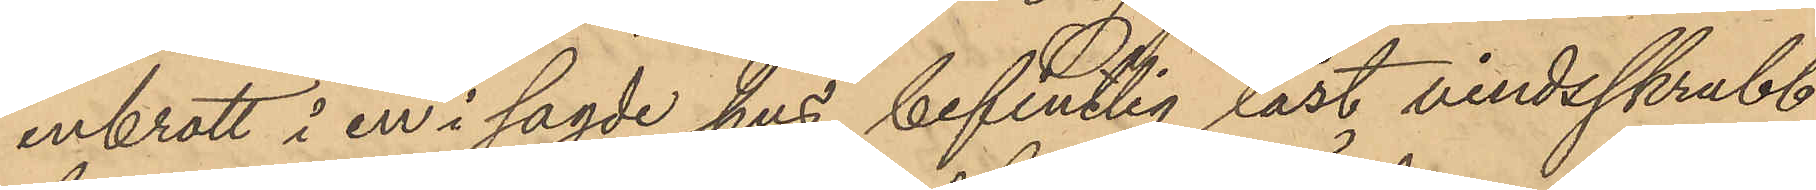inbrott i en i sagde hus befintlig låst vindsskrubb
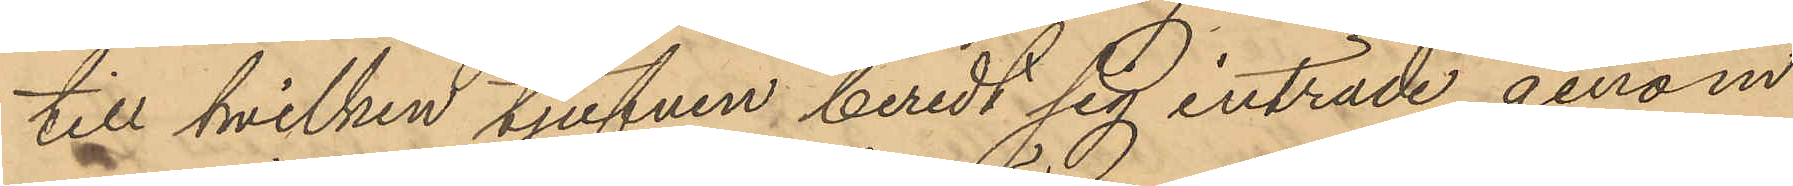till hvilken tjufven beredt sig inträde genom
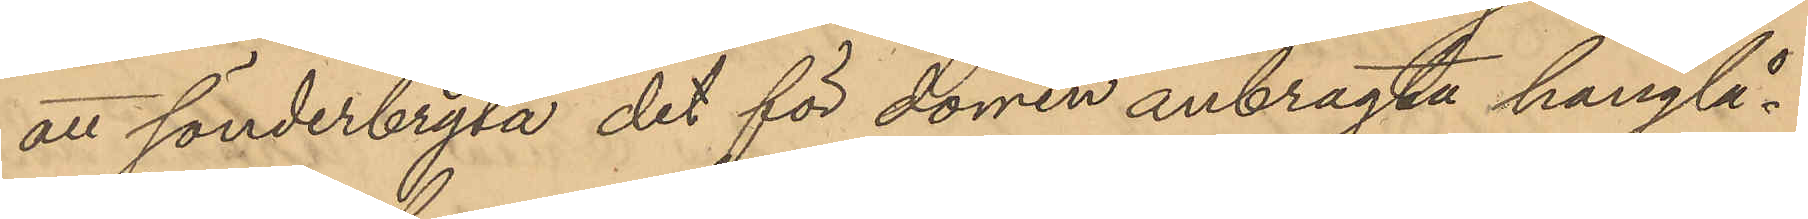att sönderbryta det för dörren anbragta hänglå¬
